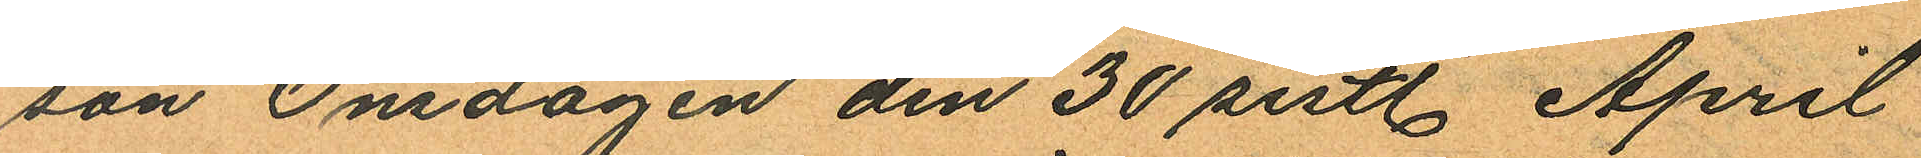son Onsdagen den 30 sistl. April
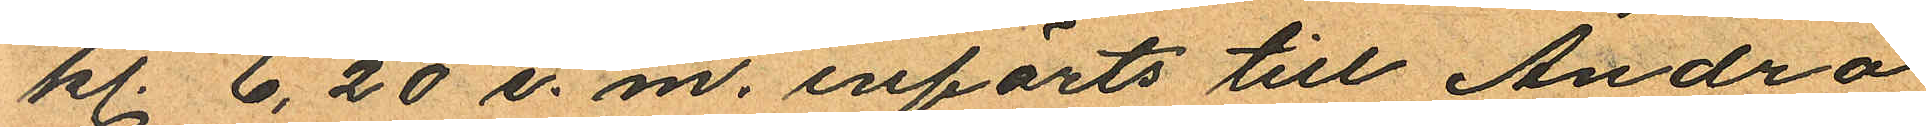kl. 6,20 e. m. införts till Andra
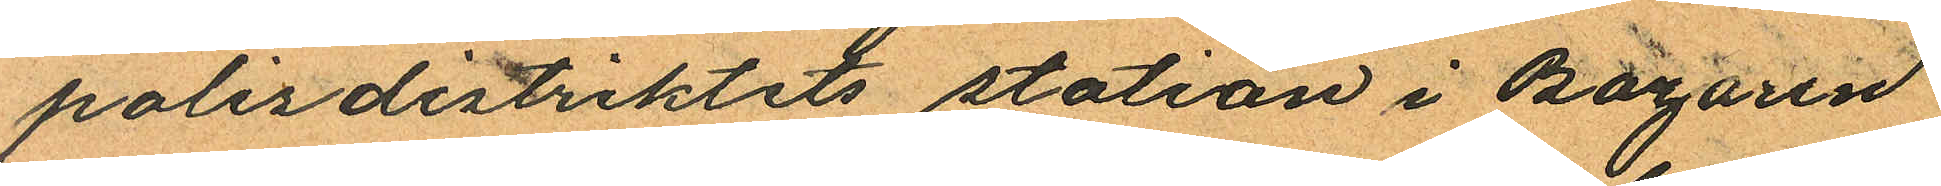polisdistriktets station i Bazaren
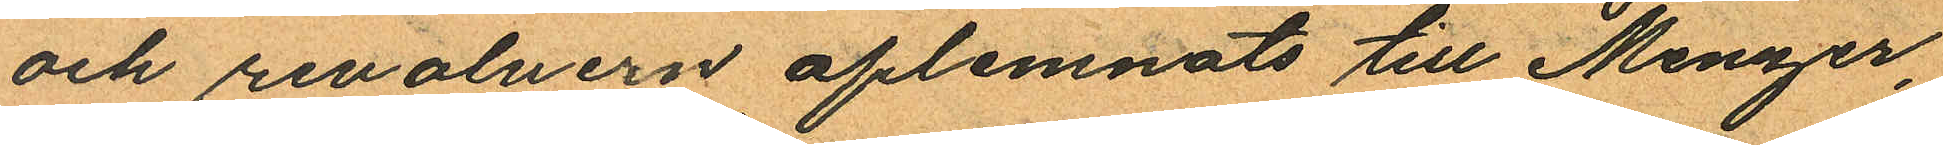och revolvern aflemnats till Menzer
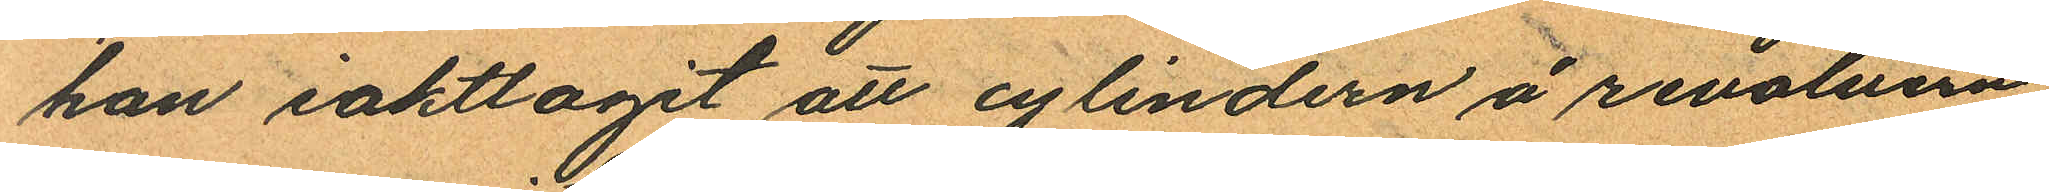han iakttagit att cylindern å revolvern
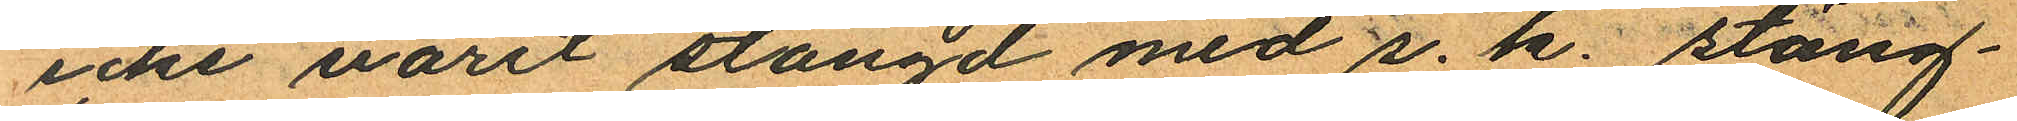icke varit stängd med s. k. stäng¬
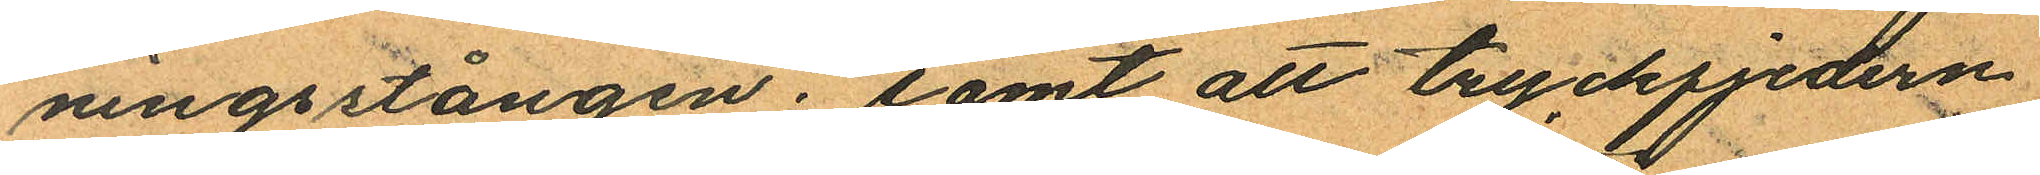ningsstången; samt att tryckfjedern
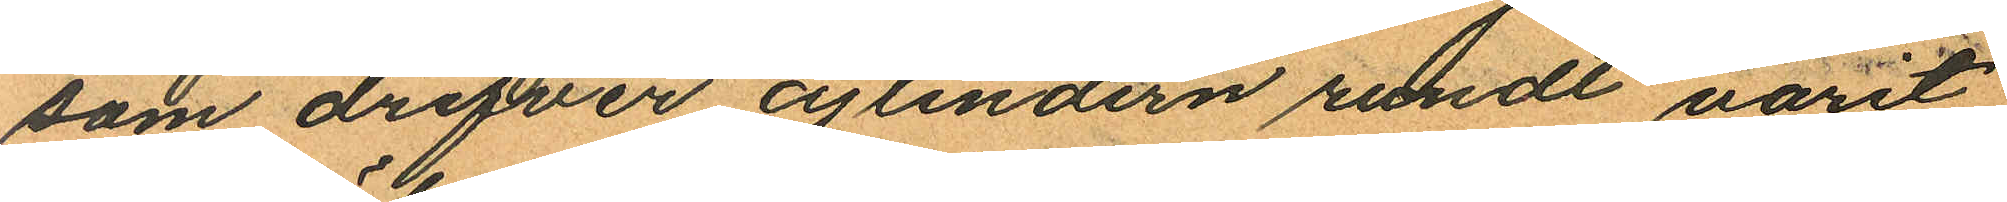som drifver cylindern rundt varit
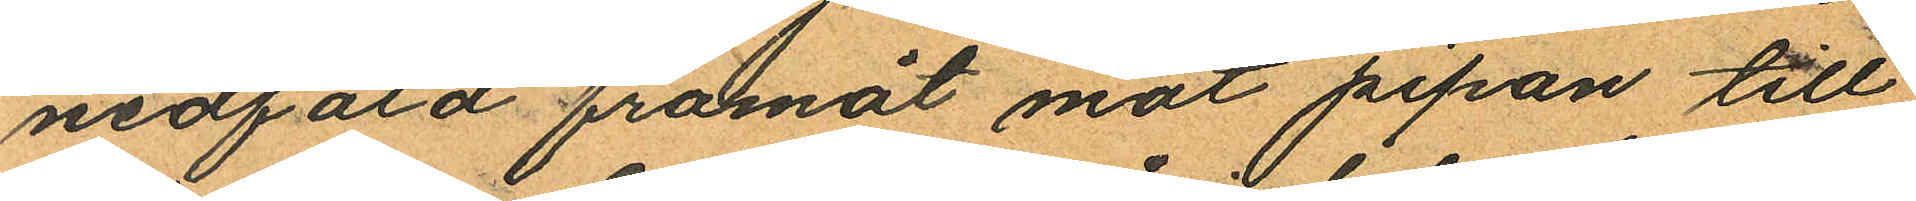nedfäld framåt mot pipan till
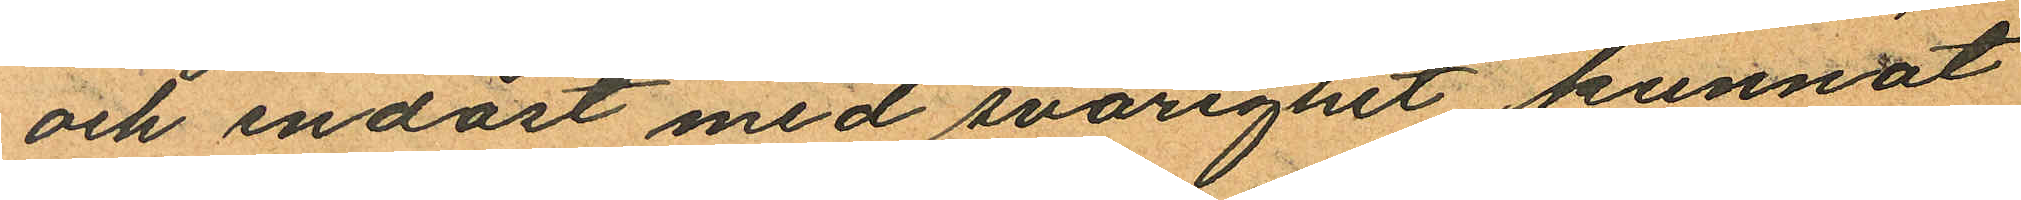och endast med svårighet kunnat
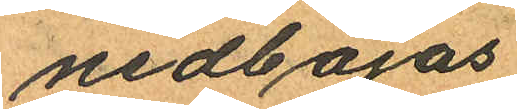nedböjas
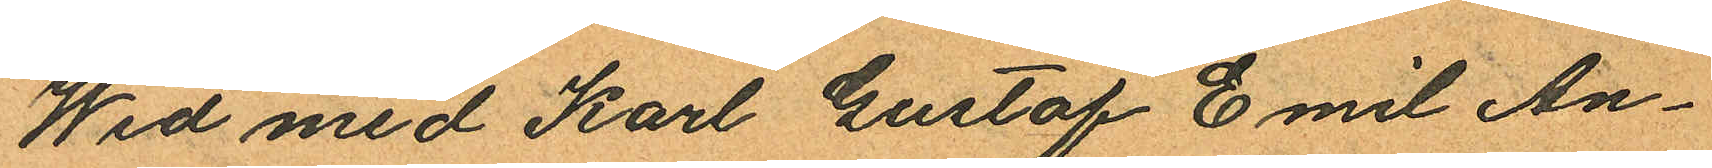Wid med Karl Gustaf Emil An¬
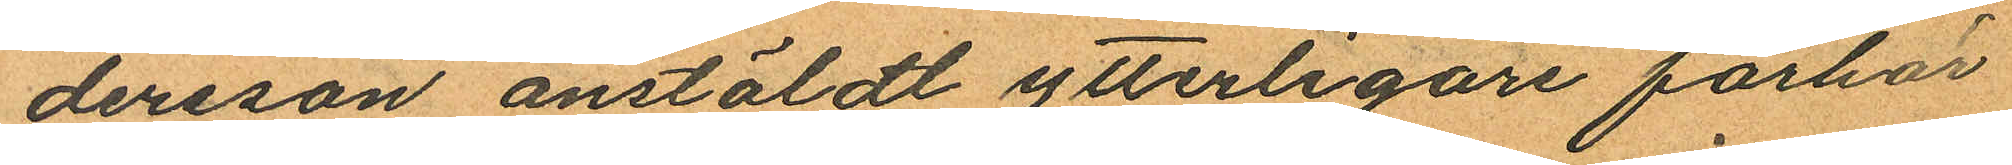dersson anstäldt ytterligare förhör
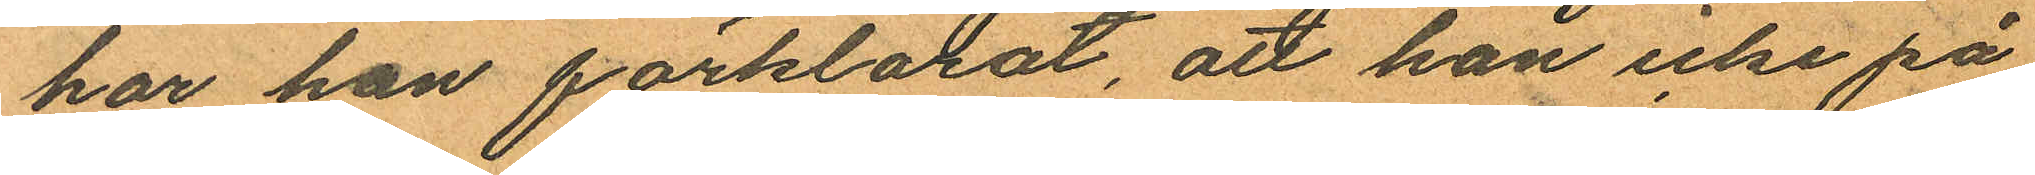har han förklarat, att han icke på
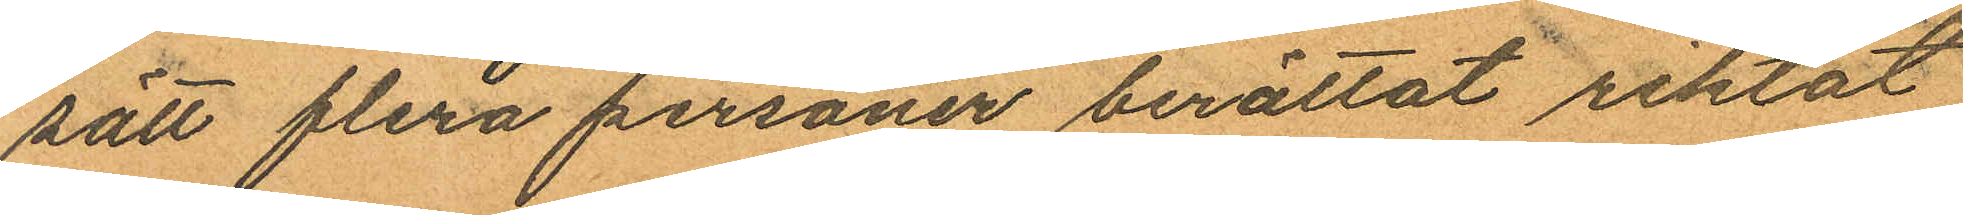sätt flera personer berättat riktat
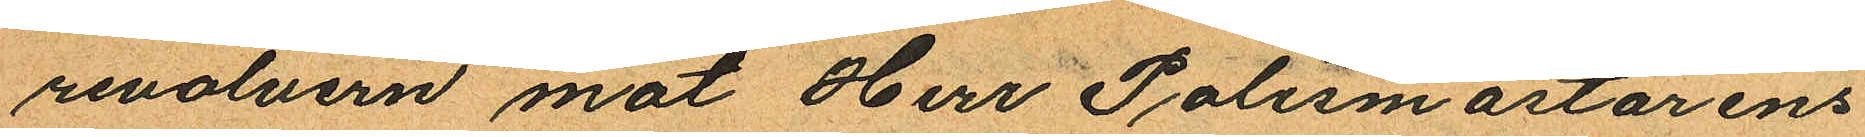revolvern mot Herr Polismästarens
